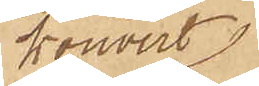kouvert
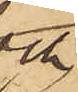och
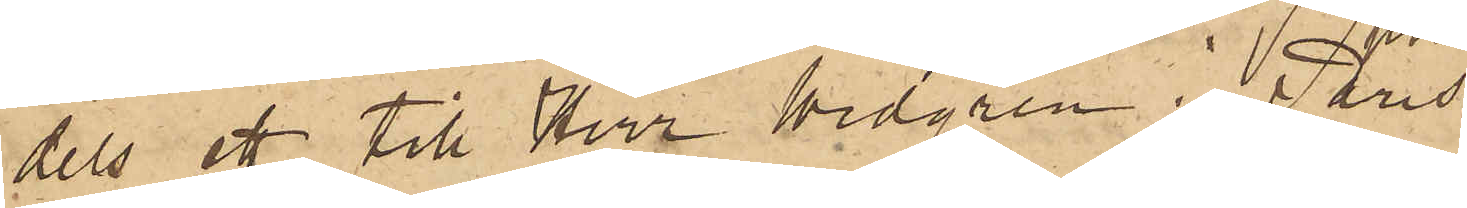dels ett till Herr Widgren i Paris
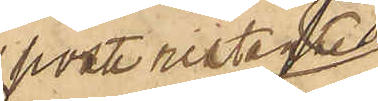poste restante
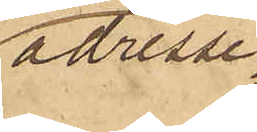adresse¬
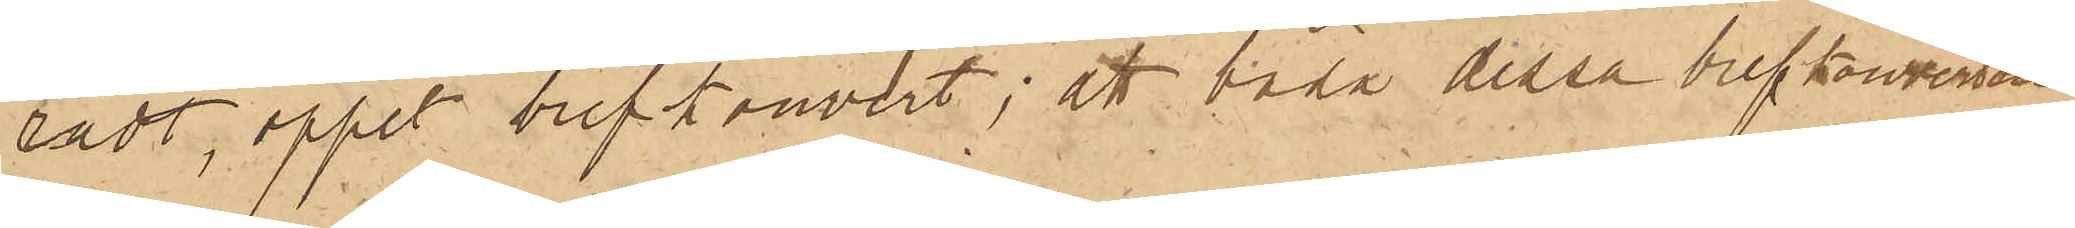radt, öppet brevkouvert; att båda dessa brefkouverter
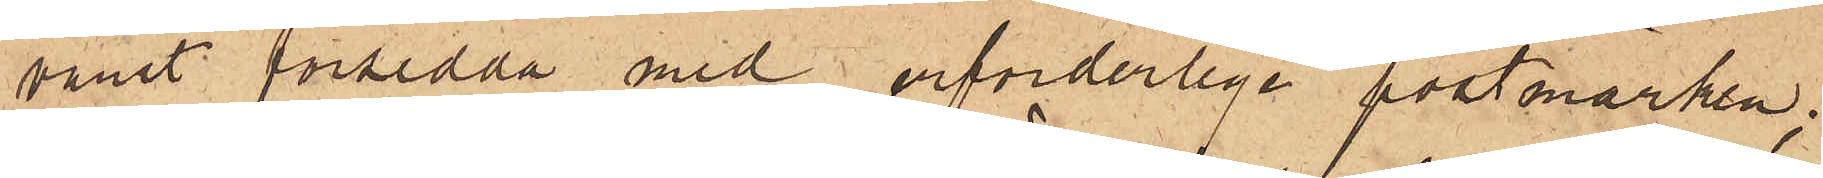varit försedda med erforderlige postmärken;
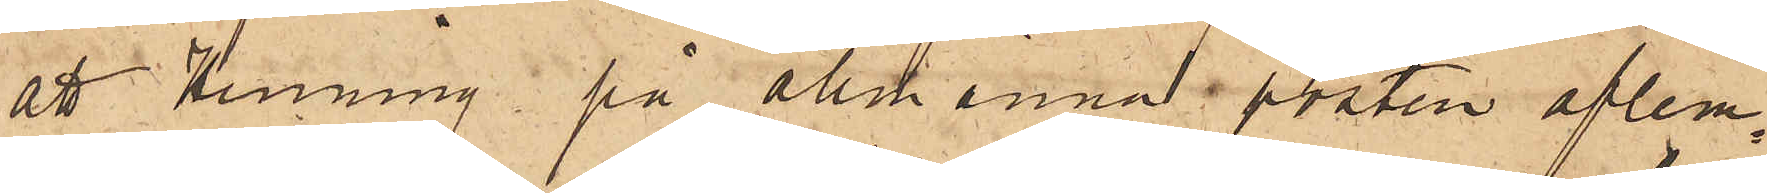att Henning, på allmänna posten aflem¬
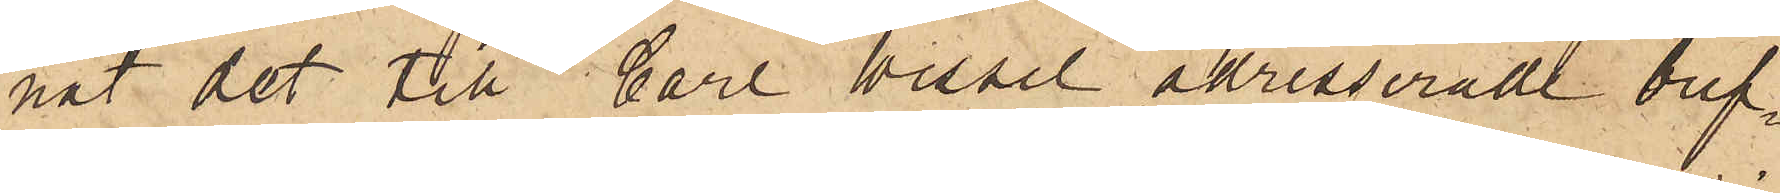nat det till Carl Wessel adresserade bref¬
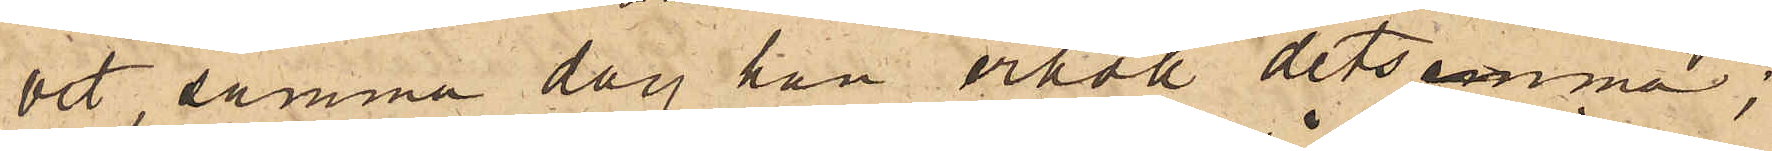vet samma dag han erhöll detsamma;
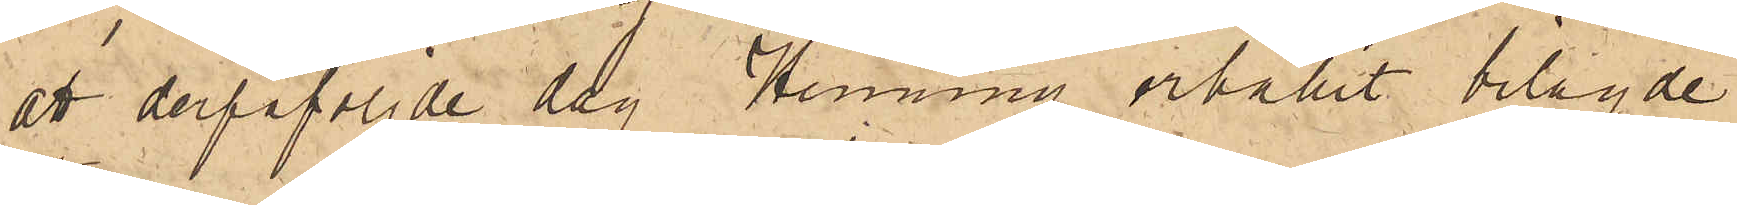att derpåföljde dag Henning erhållit bilagde
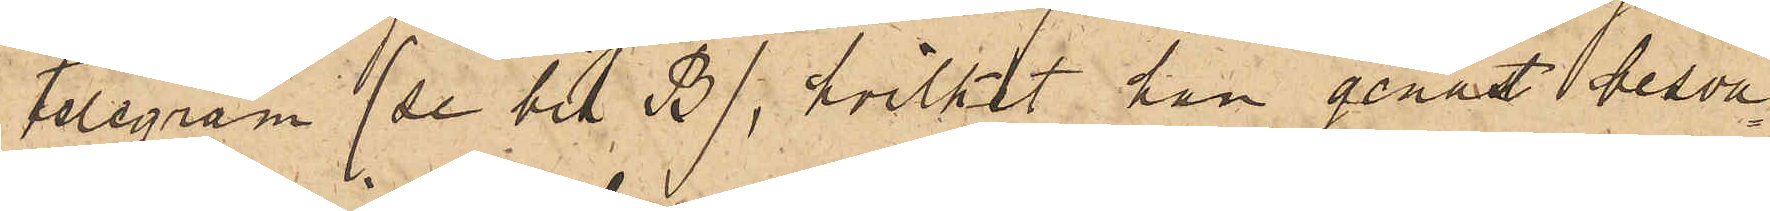telegram (se bil B), hvilket han genast besva¬
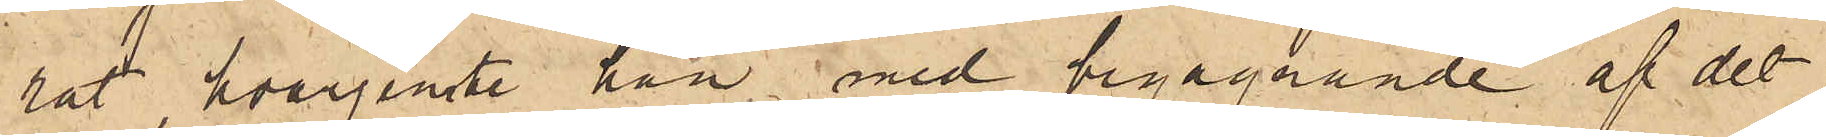rat, hvarjemte han med begagnande af det
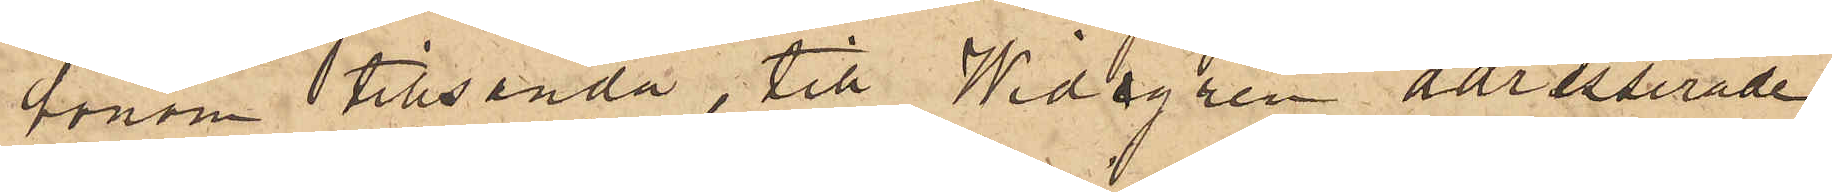honom tillsända, till Widgren adresserade
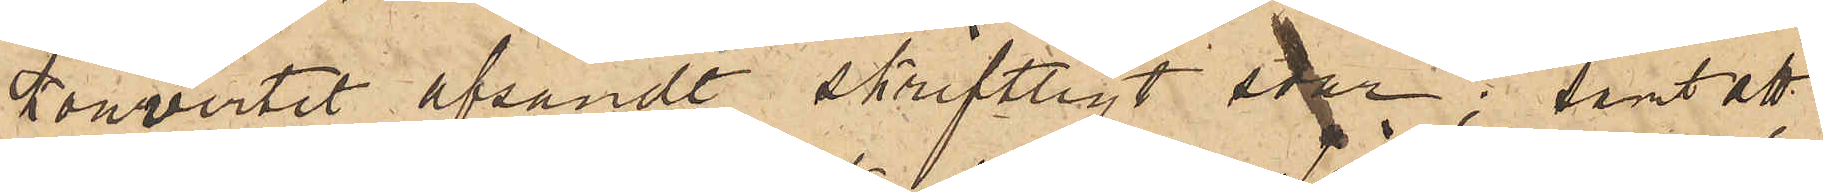kouvertet afsändt skriftligt svar; samt att
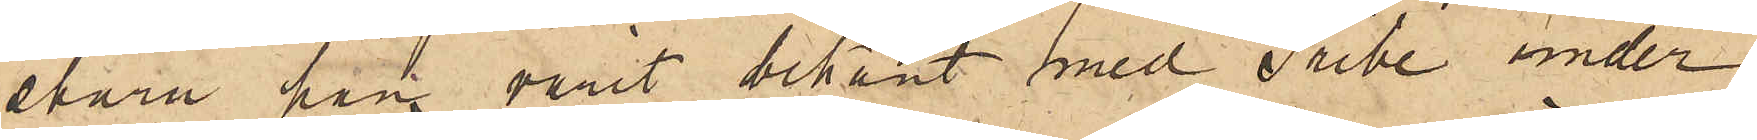ehuru han varit bekant med Tribe under
